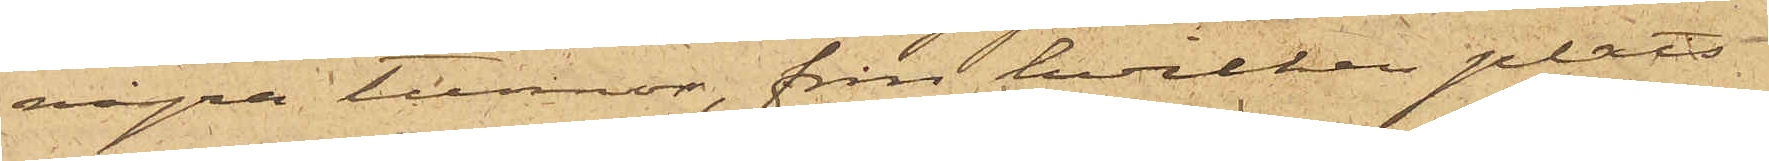några tunnor, från hvilken plats
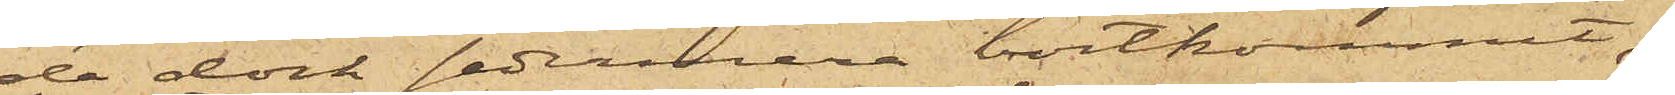de dock sedermera bortkommit;
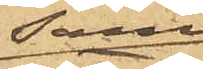samt
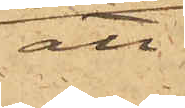att
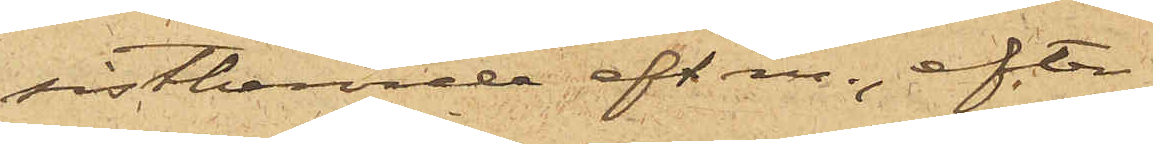sistberörde eft.m., efter
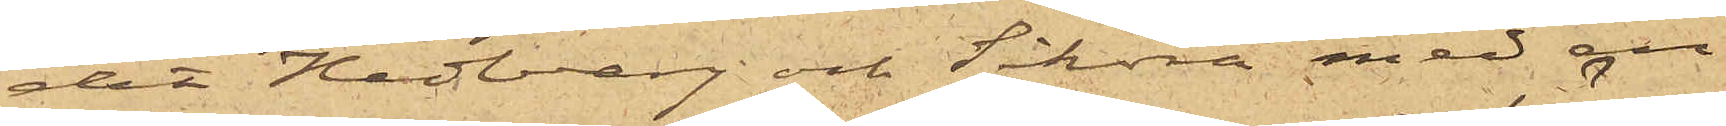det Hedberg och Sikora med en
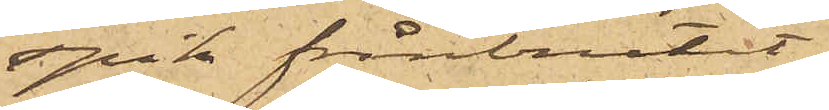spik frånbrutit
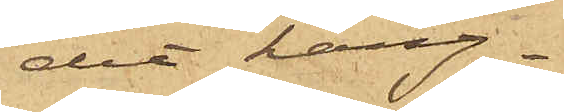ett häng¬
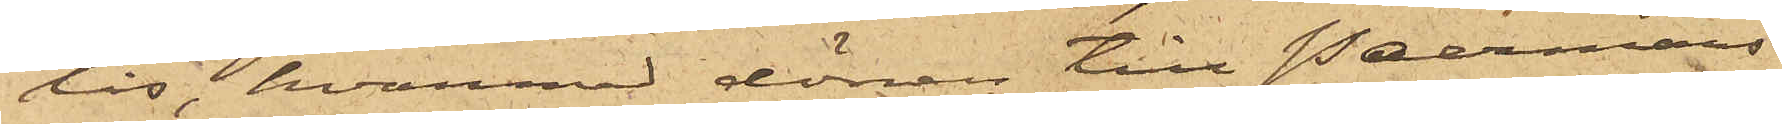lås, hvarmed dörren till Johanssons
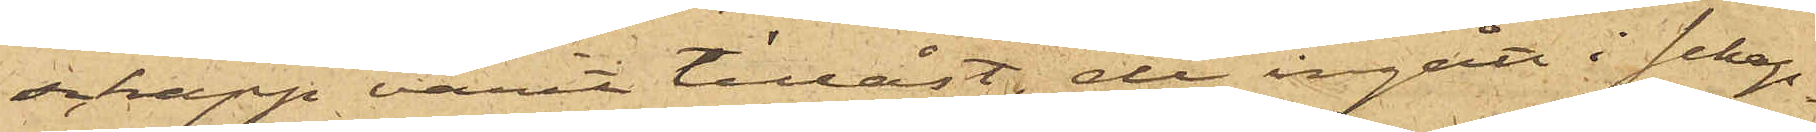schapp varit tillåst, de ingått i schap¬
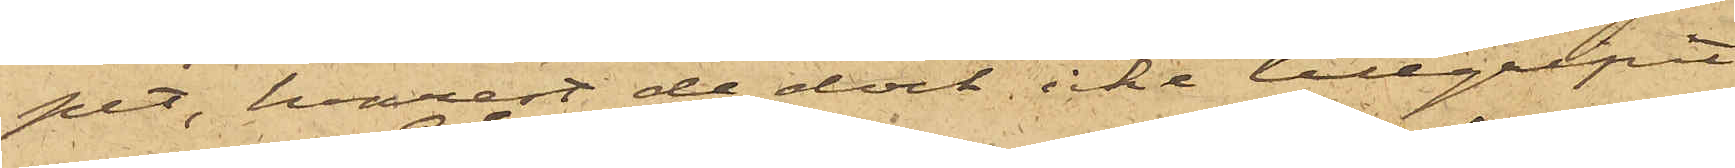pet, hvarest de dock icke tillgripit
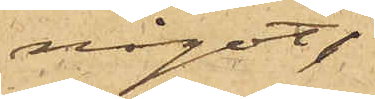något
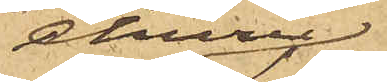ehuru
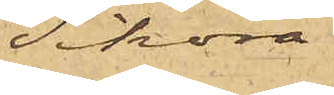Sikora
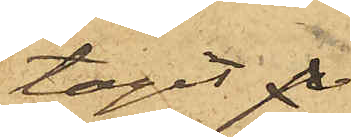tagit p
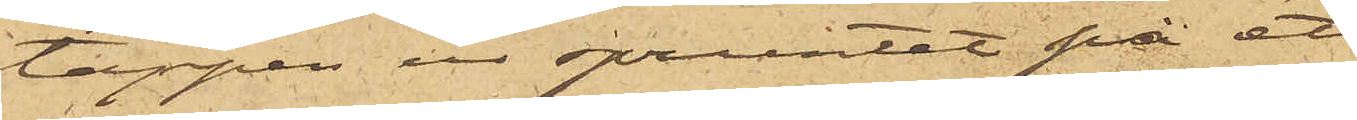tappen ur spruntet på ett
